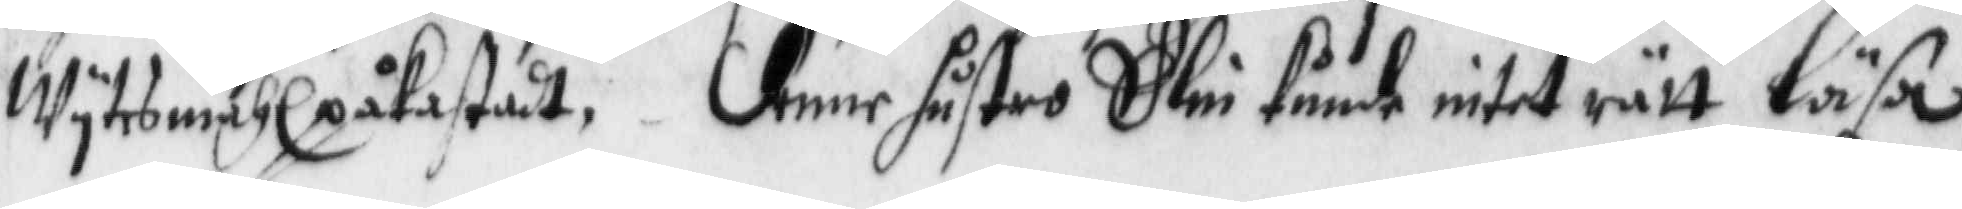wytwsmåhl påkastat, denne hustro Elin kunde intet rätt läsa
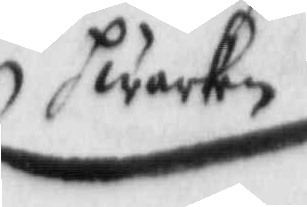hwarken
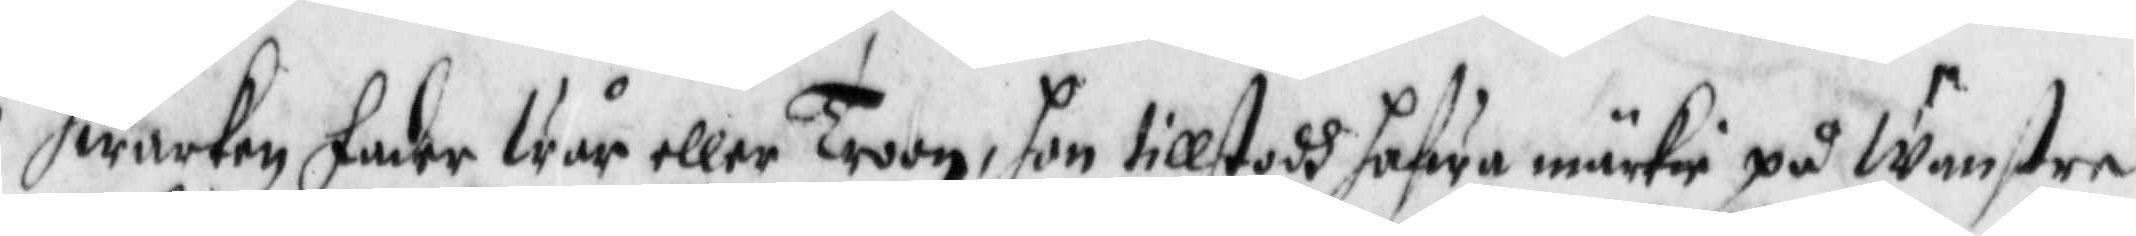hwarken fader wår eller Troon, hon tillstodh hafwa märkie på wänstre
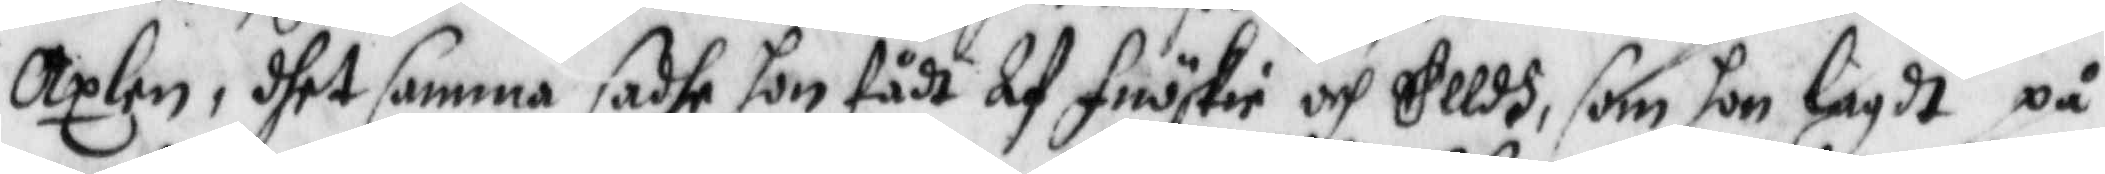Axlen, dhet samma sadhe hon fådt Af fnöskie och Elldh, som hon lagdt på
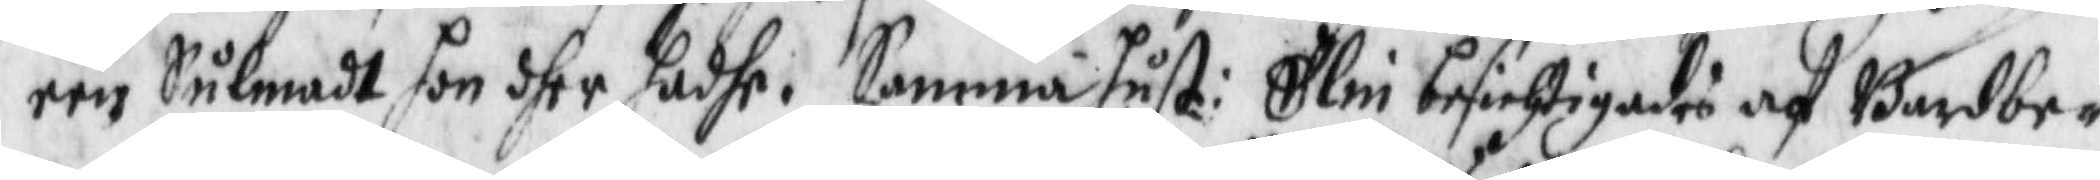een Sulmadt hon dher hadhe. Samma hust: Elin besichtigades af Bardbe¬
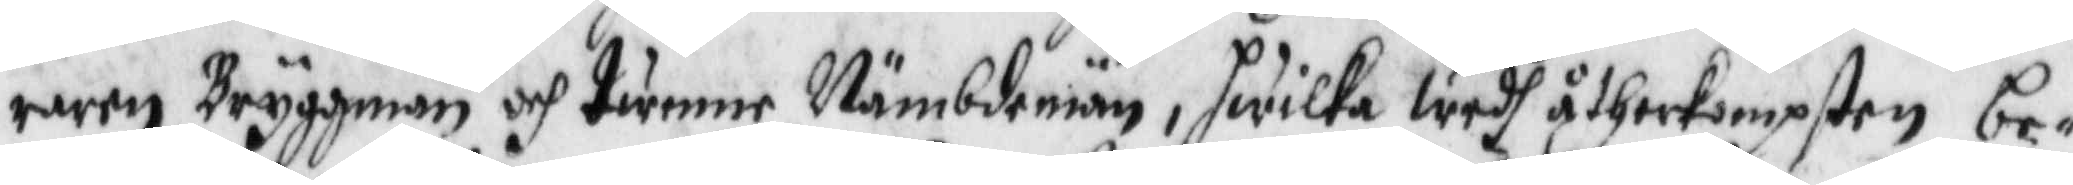raren Bryggman och twenne Nämbdemän, hwilka wedh åtherkompsten be¬
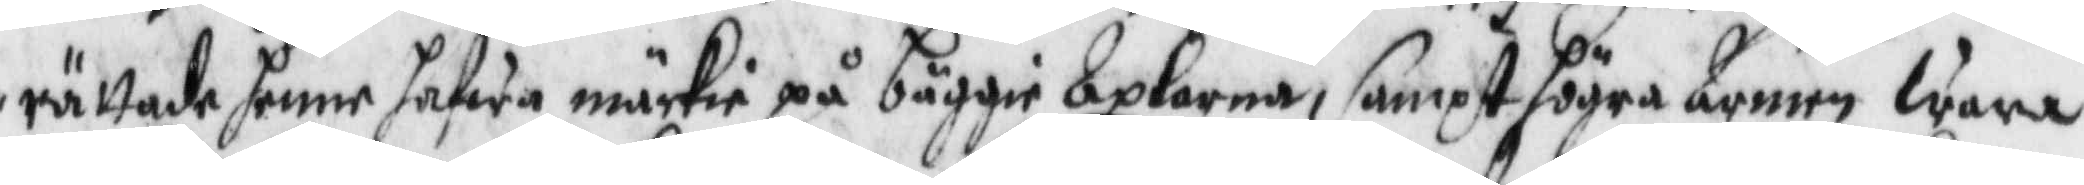rättade henne hafwa märkie på bägge Axlarna, sampt högra Armen wara
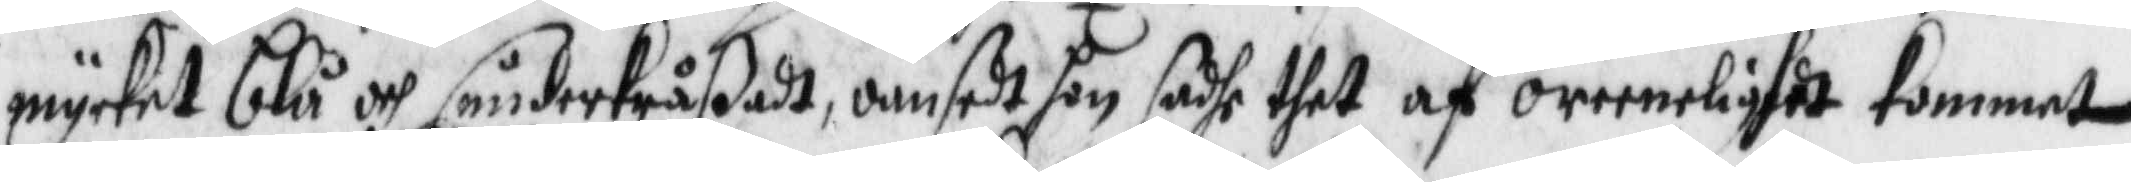mycket blå och sönderkråßadt, oansedt hon hadhe thet af oreenelighet kommet
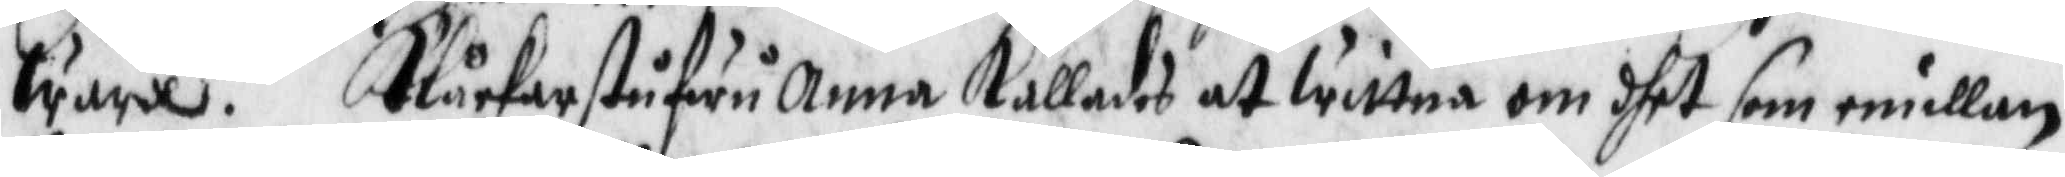ware. Klåckarhustru Anna kallades at wittna om dhet som imellan
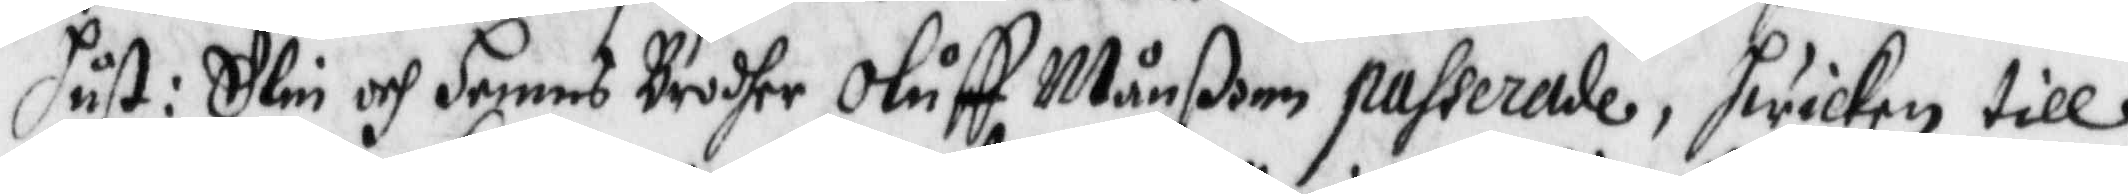hust: Elin och hennes Brodher Oluff Månßon passerade, hwilken till
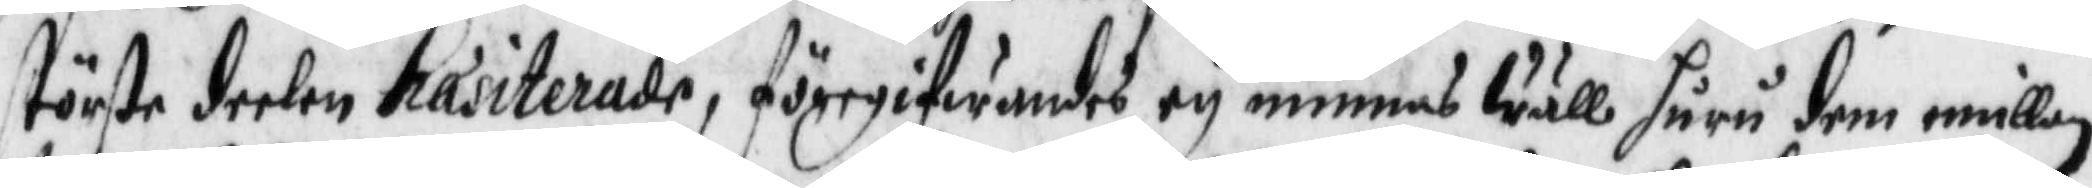största deelen hæsiterade, föregifwandes ey minnas wäll huru dem imellan
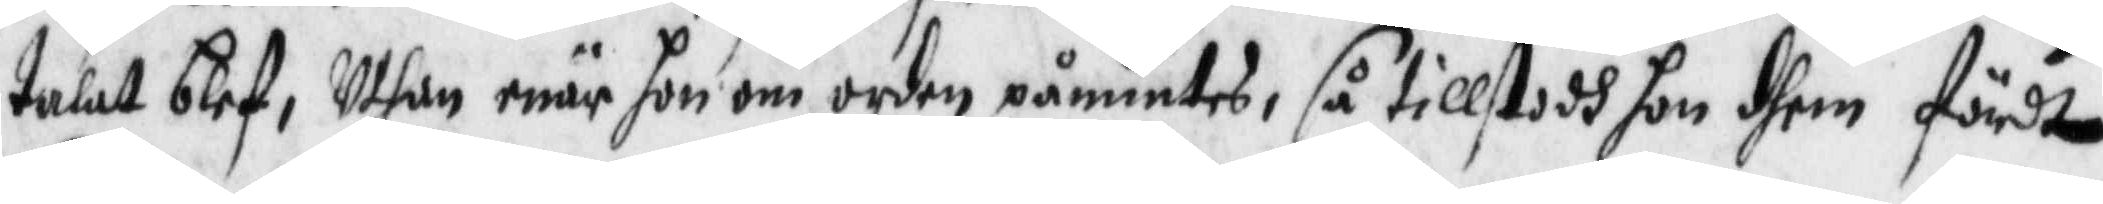talat blef, Uthan enär hon om orden påmintes, så tillstodh hon dhem fördt
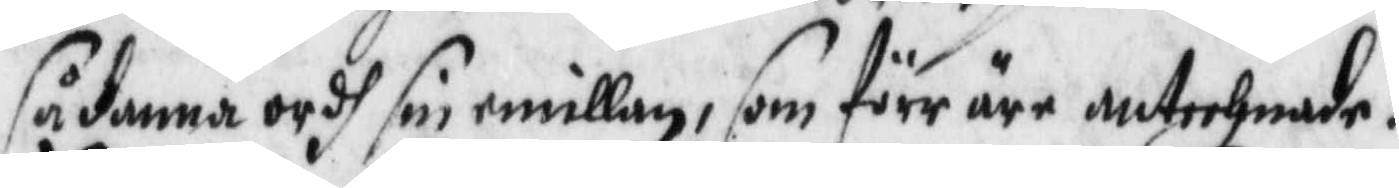sådanna ordh sin emillan, som förr äre antechnade.
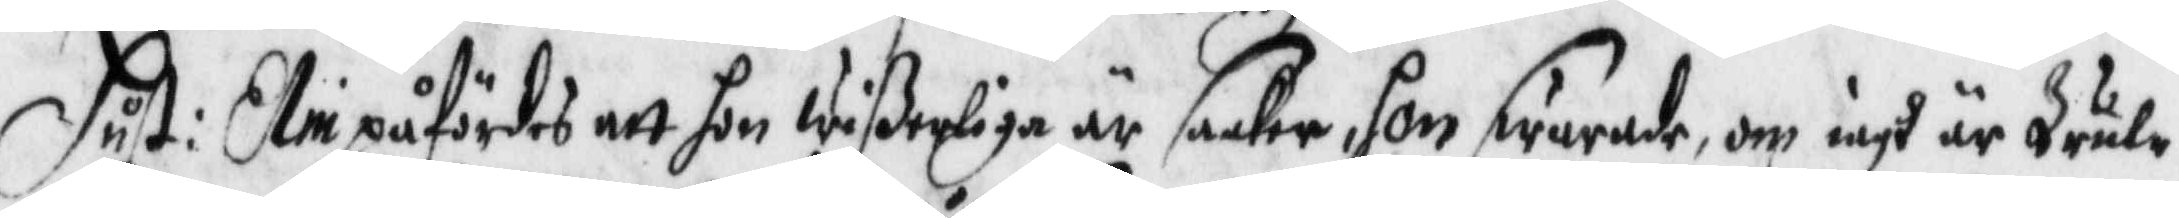Hust: Elin påfördes att hon wißerliga är saaker, hon swarade, om iagh är Trule¬
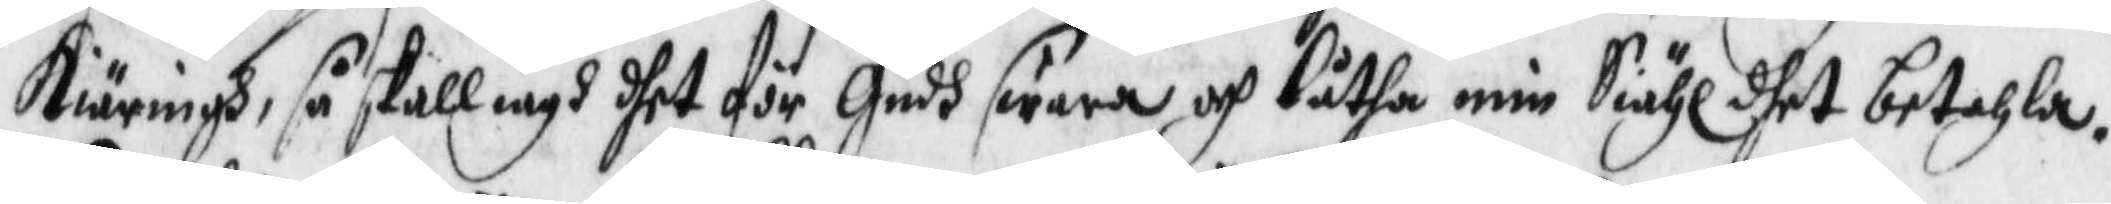kiäringh, så skall iagh dhet för Gudh swara och låtha min Siähl dhet betahla,
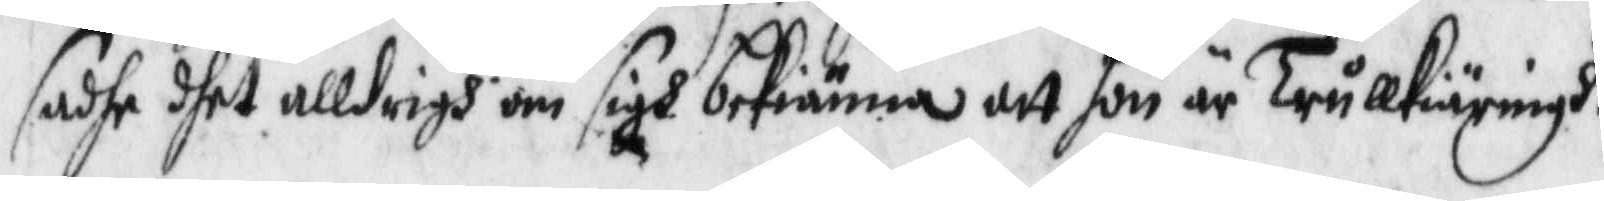sadhe dhet alldrigh om sigh bekiänna att hon är Trullkiärinh.
